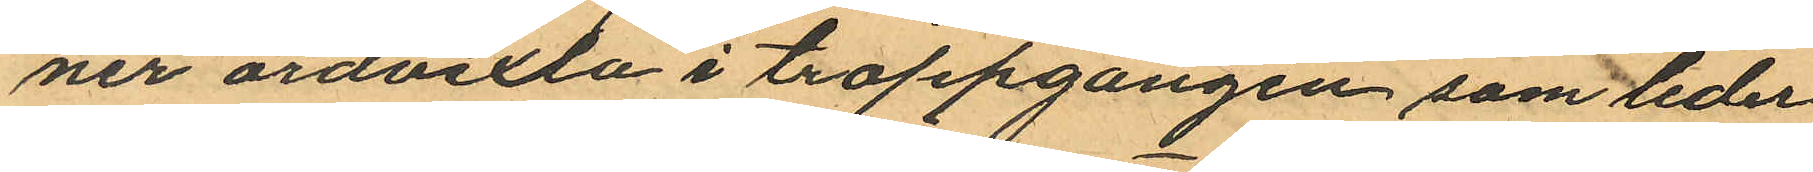ner ordvexla i trappgången som leder
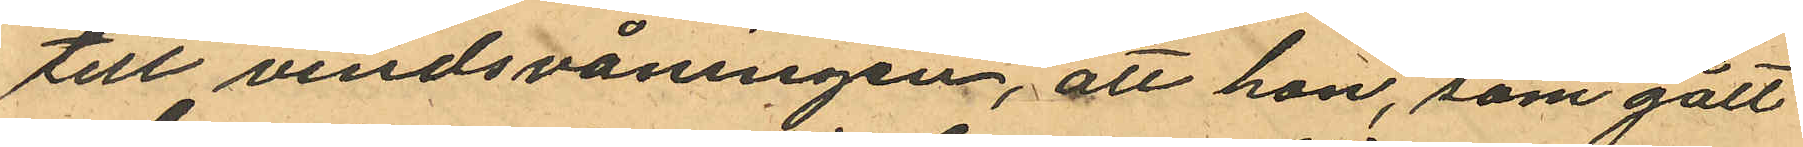till vindsvåningen, att hon, som gått
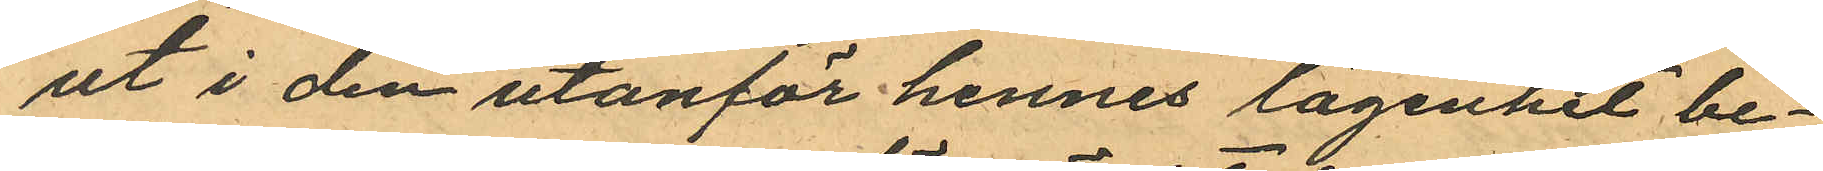ut i den utanför hennes lägenhet be¬
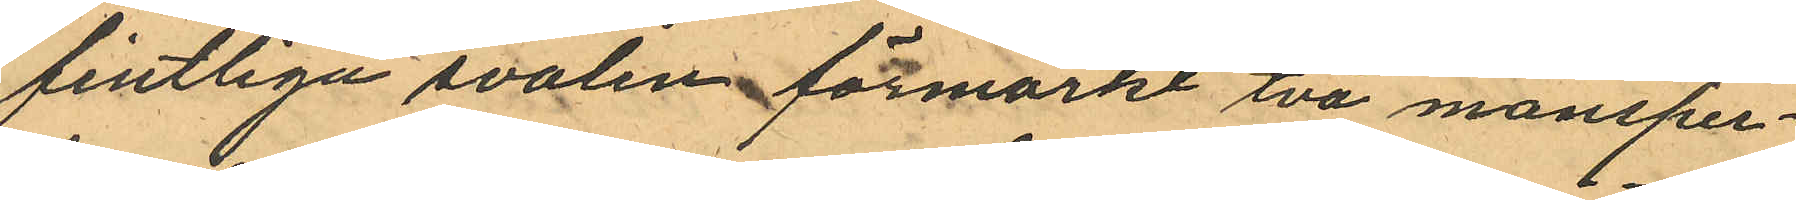fintliga svalen förmärkt två mansper¬
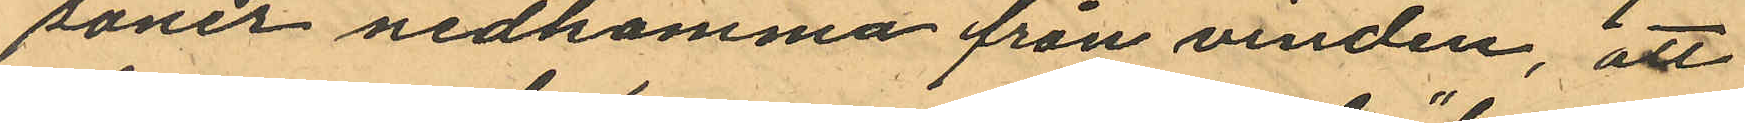soner nedkomma från vinden, att
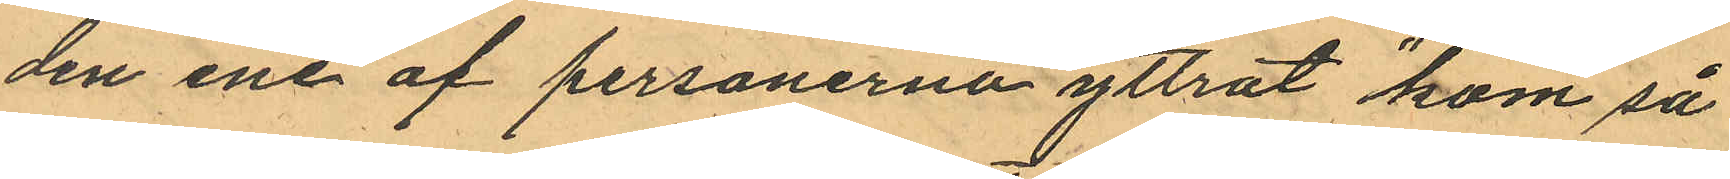den ene af personerna yttrat "kom så
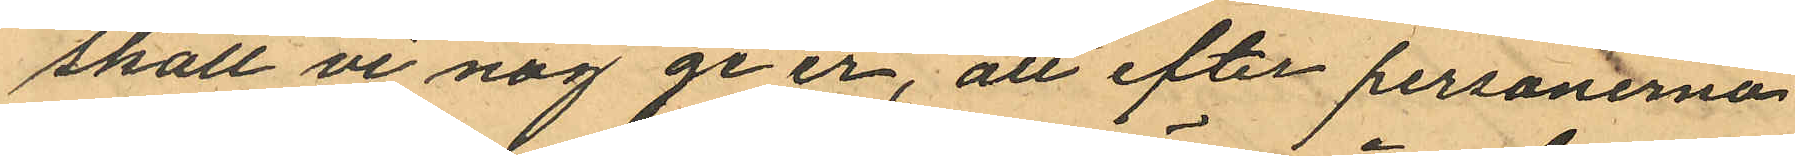skall vi nog ge er", att efter personerna
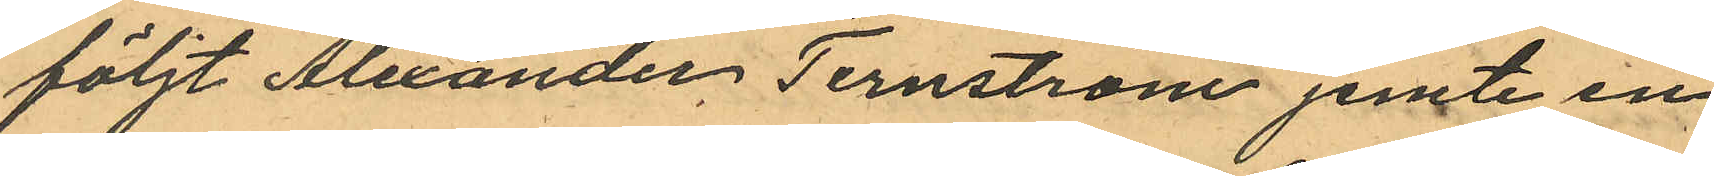följt Alexander, Ternström jemte en
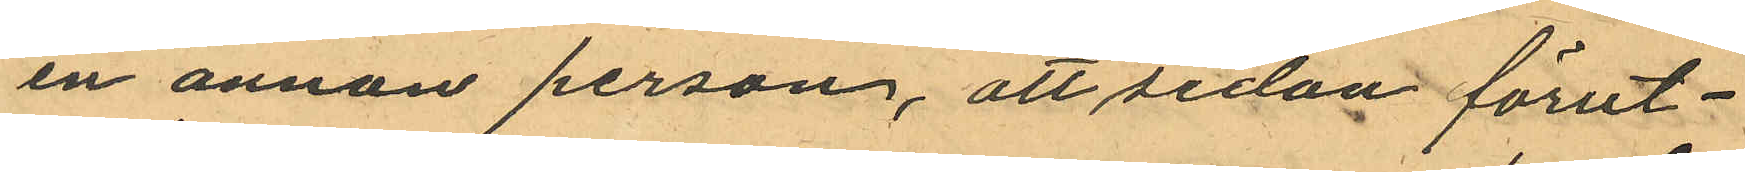en annan person, att sedan förut¬
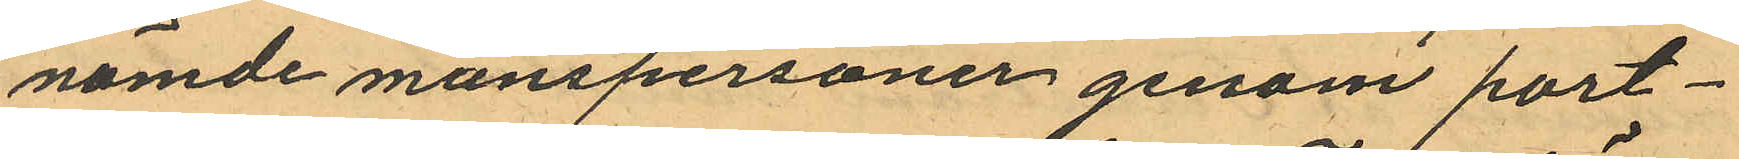nämde manspersoner genom port¬
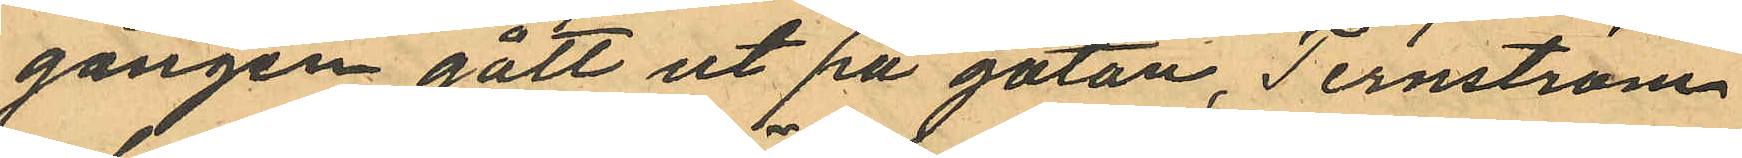gången gått ut på gatan, Ternström
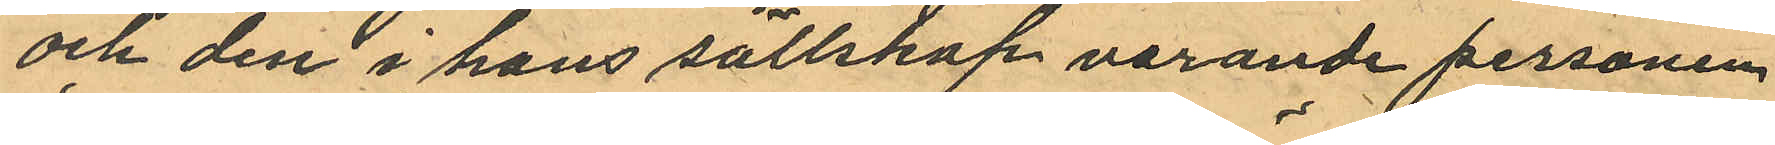och den i hans sällskap varande personen
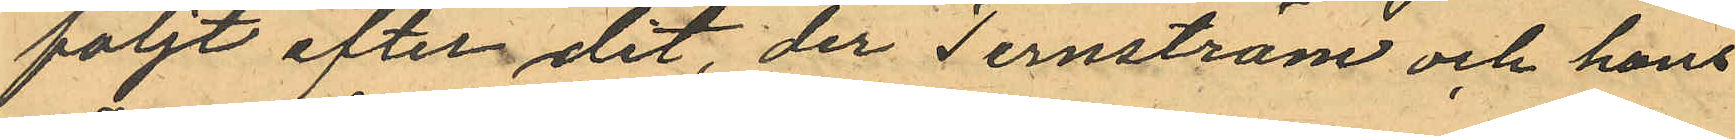följt efter dit, der Ternström och hans
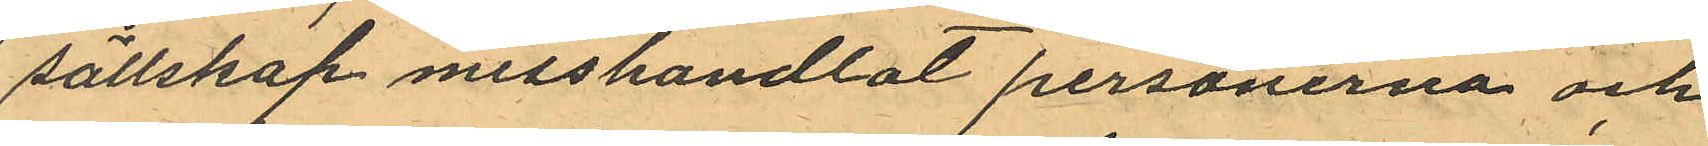sällskap misshandlat personerna och
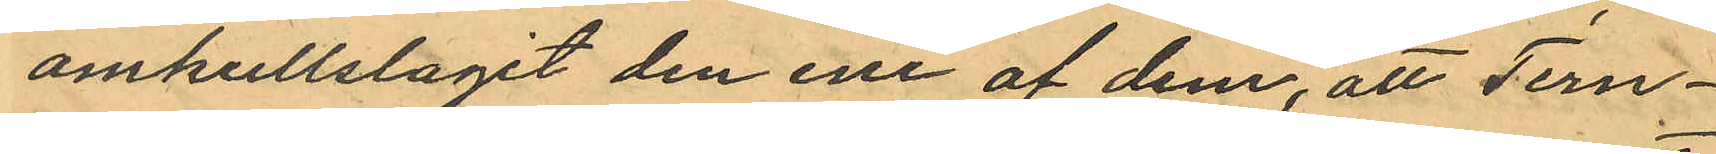omkullslagit den ene af dem, att Tern¬
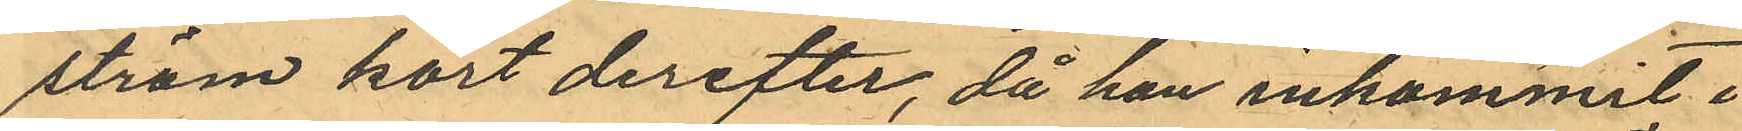ström kort derefter, då han inkommit i
